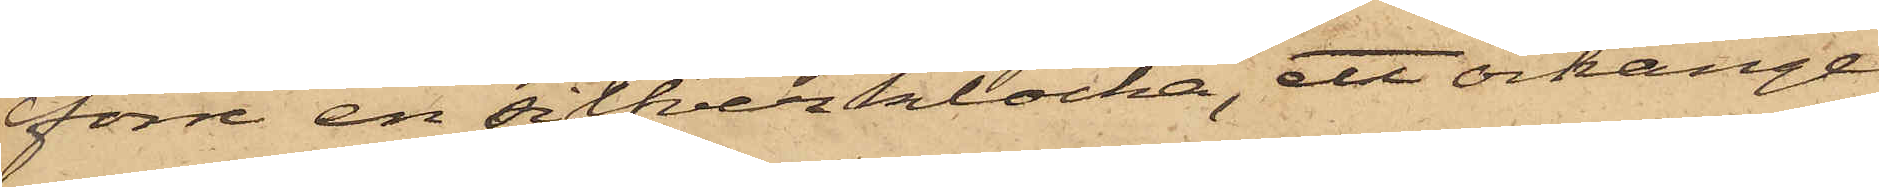förre en silfverklocka, ett örhänge
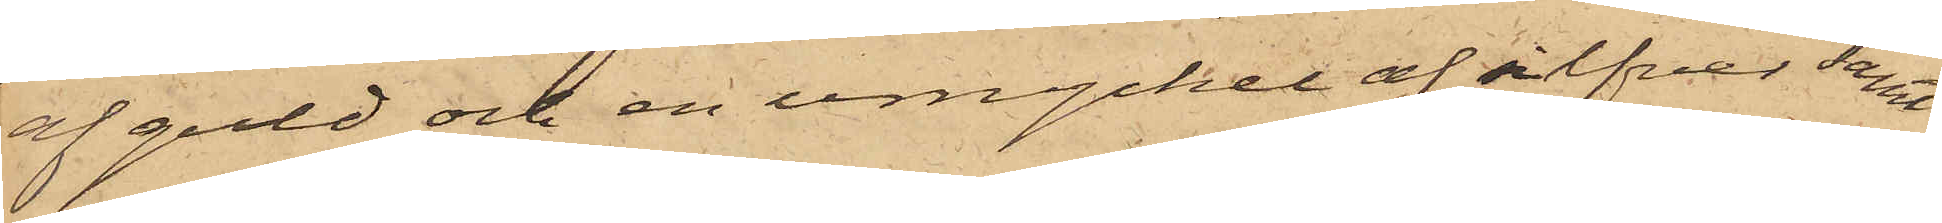af guld och en urnyckel af silfver samt
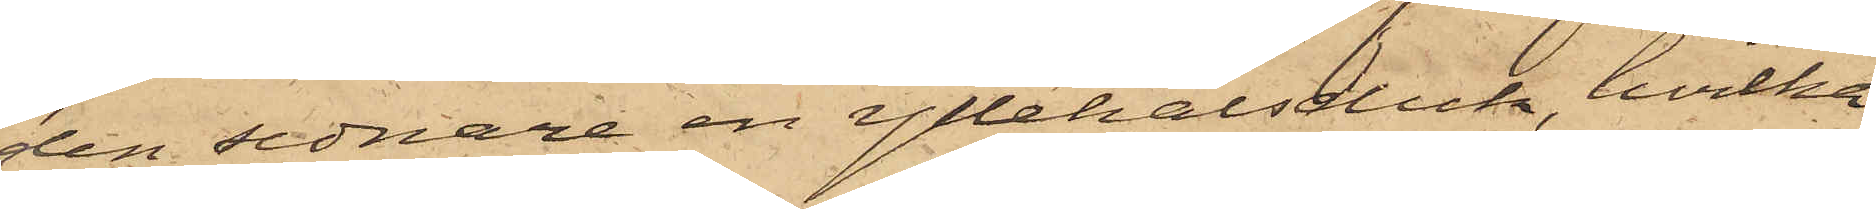den sednare en yllehalsduk, hvilka
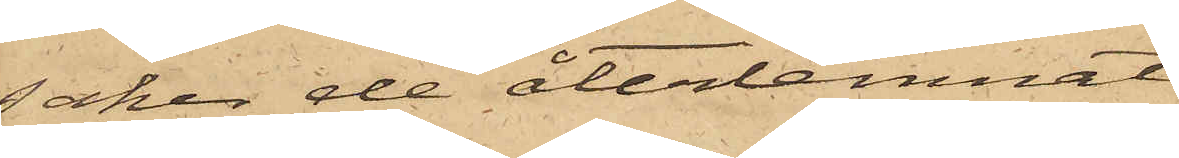saker de återlemnat
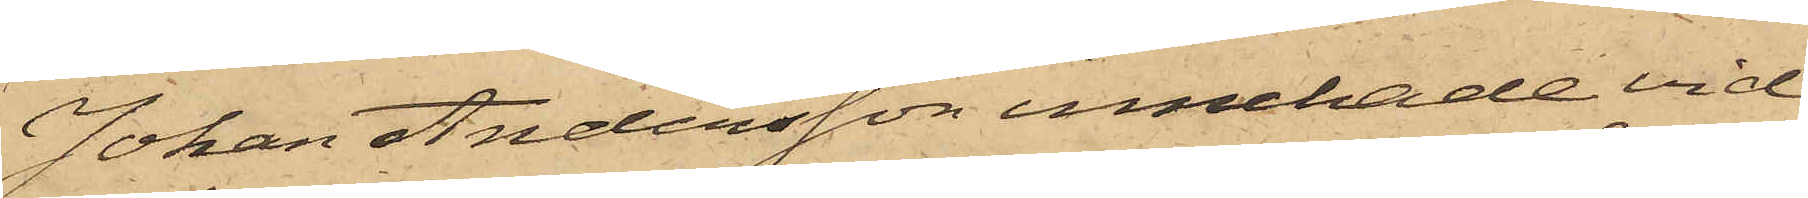Johan Andersson innehade vid
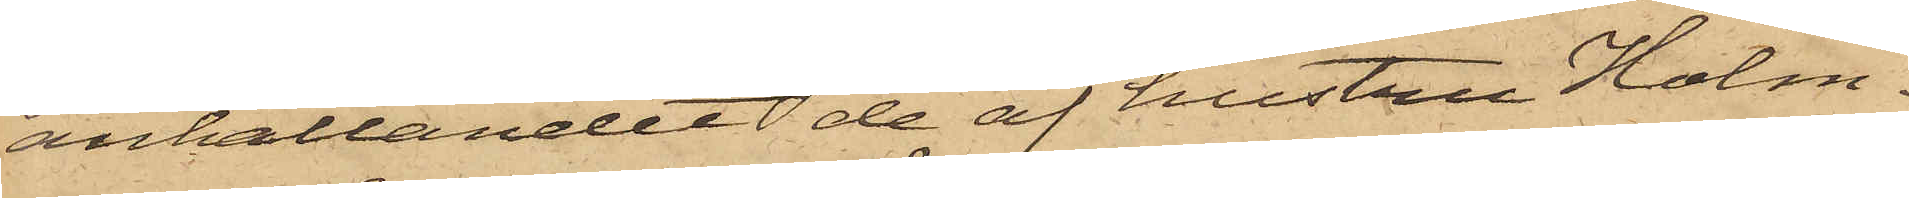anhållandet de af hustru Holm¬
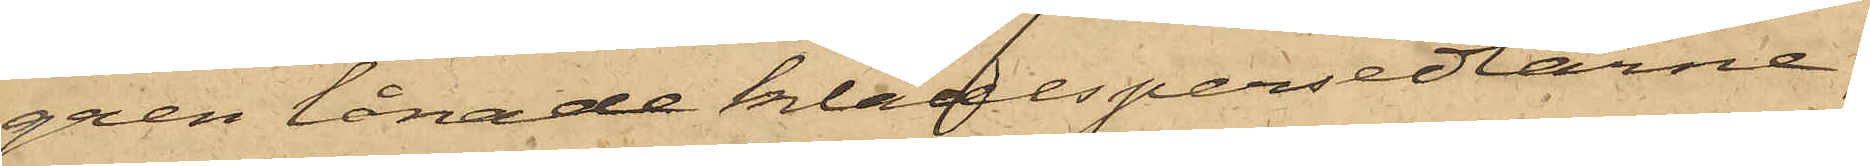gren lånade klädespersedlarne,
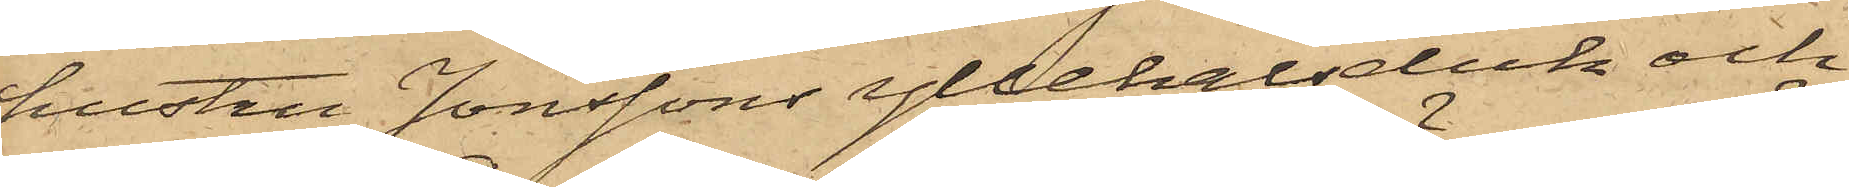hustru Jonssons yllehalsduk och
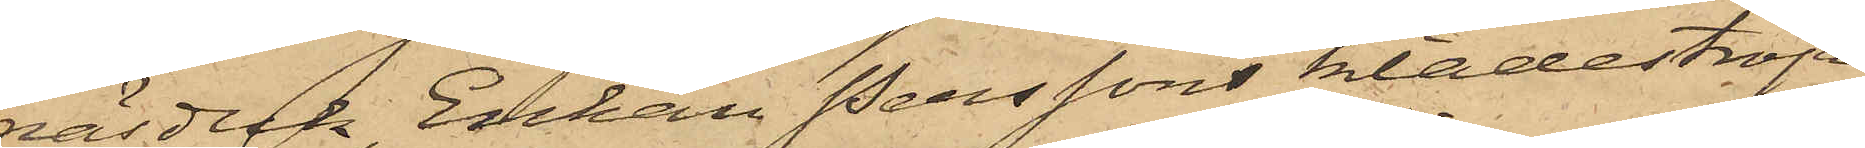näsduk, Enkan Perssons klädeströja,
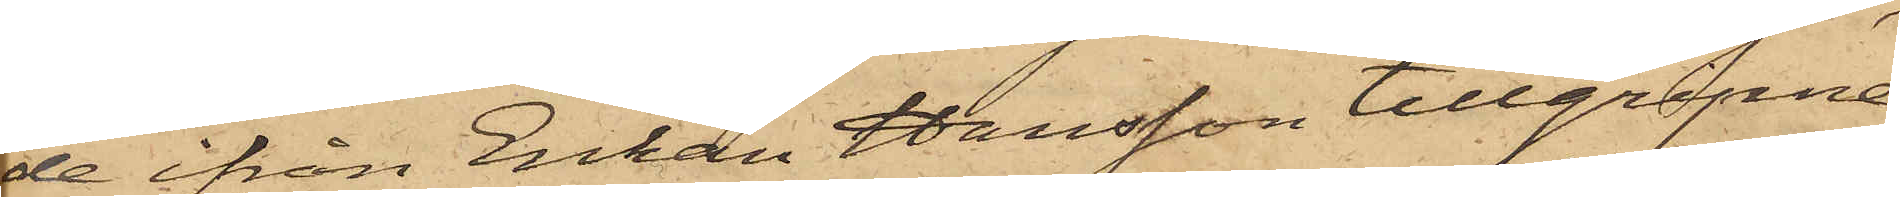de ifrån Enkan Hansson tillgripne
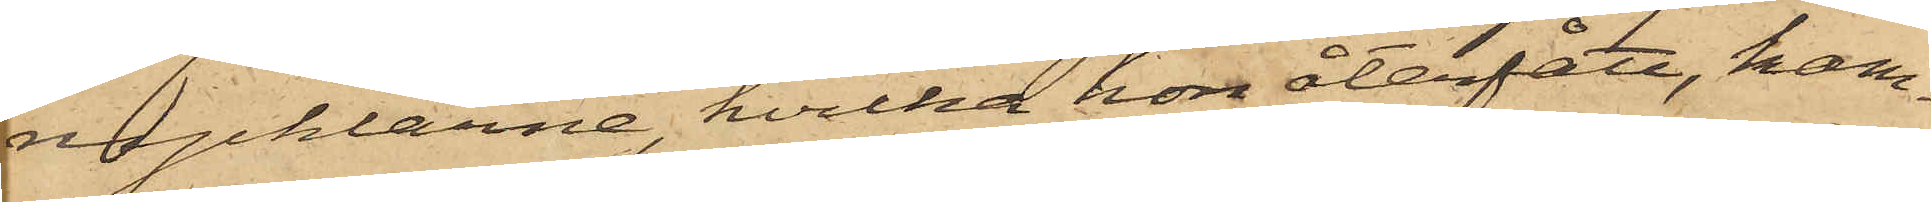nycklarne, hvilka hon återfått, kam¬
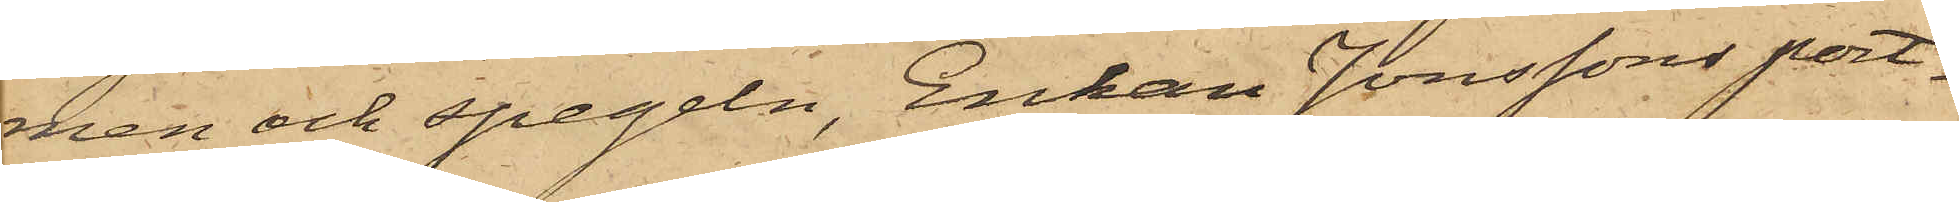men och spegeln, Enkan Jonssons port¬
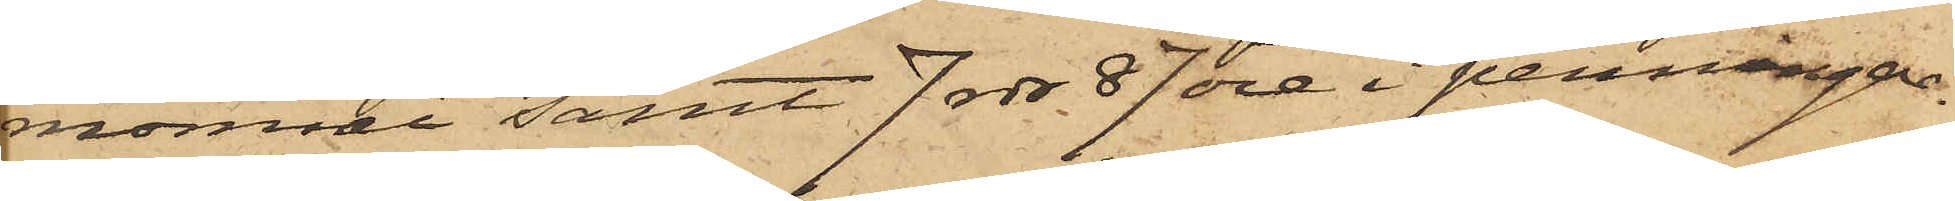monnai samt 7 rdr 87 öre i penningar.
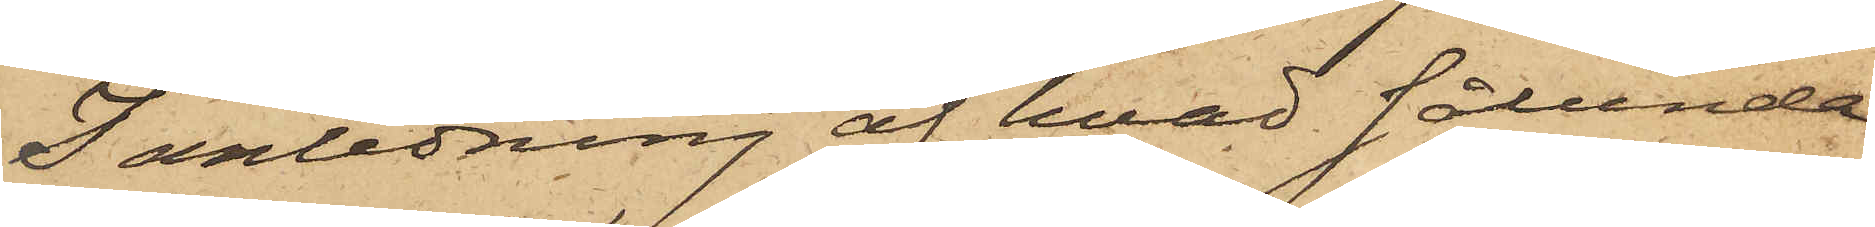I anledning af hvad sålunda
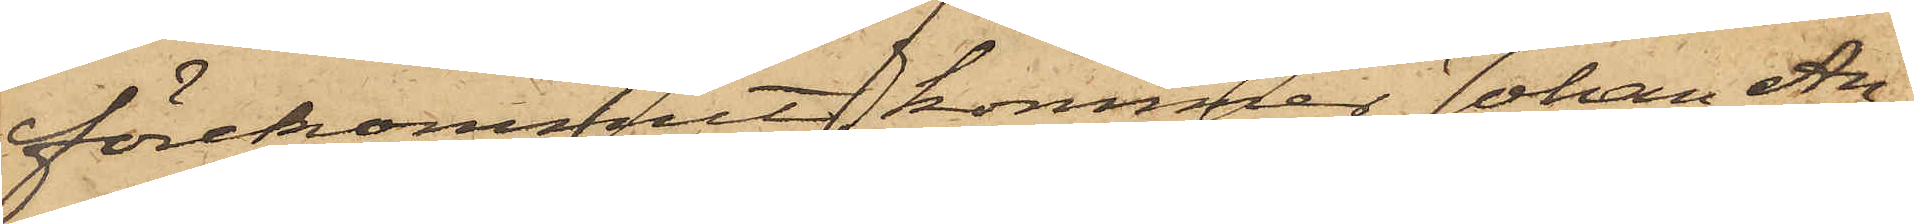förekommit, kommer Johan An¬
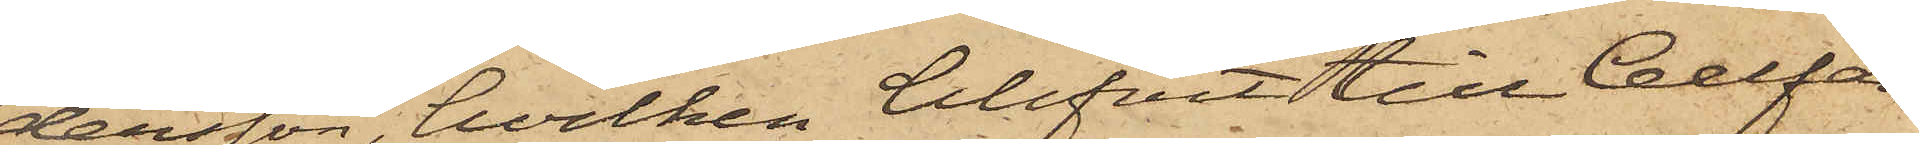dersson, hvilken blifvit till Cellfän¬
